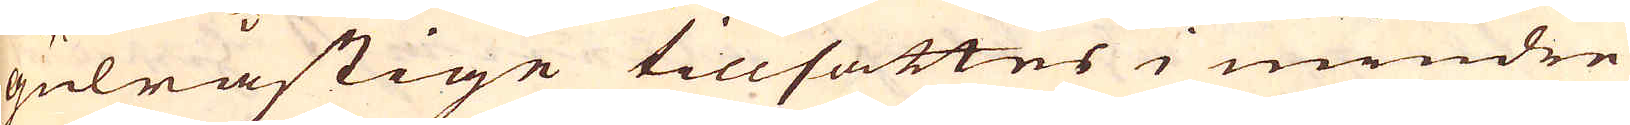gulråstige tillsattes i mindre
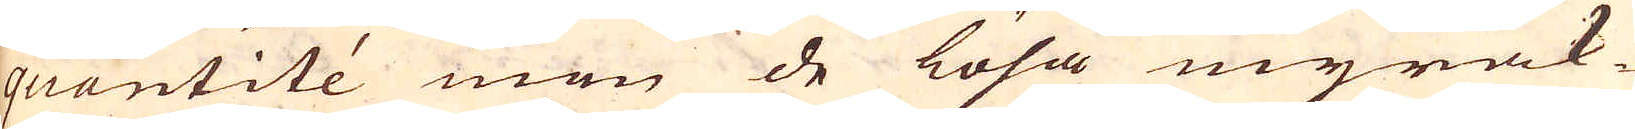quantité men de lösa myrak-
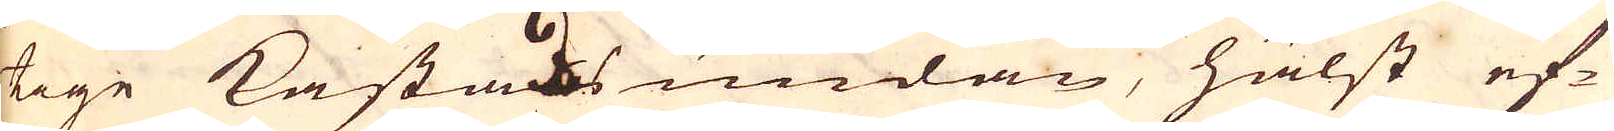tige kastats undan, hälst ef-
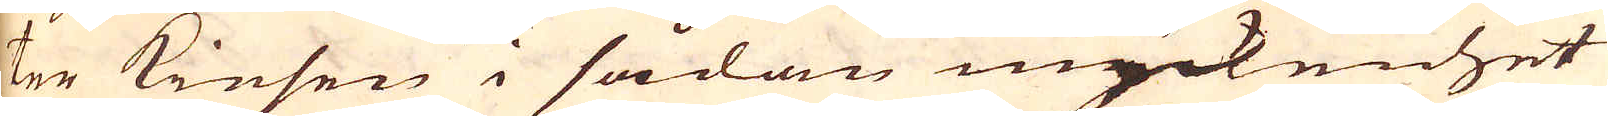ter Kiesen i sådan myckenhet
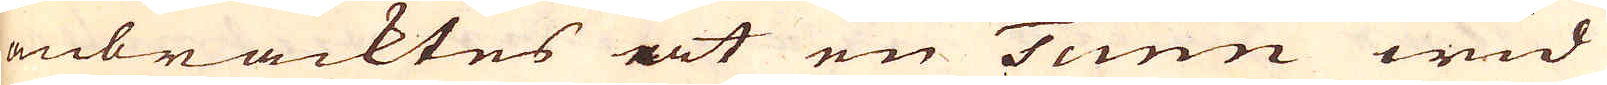anbracktes at en Tunn wid
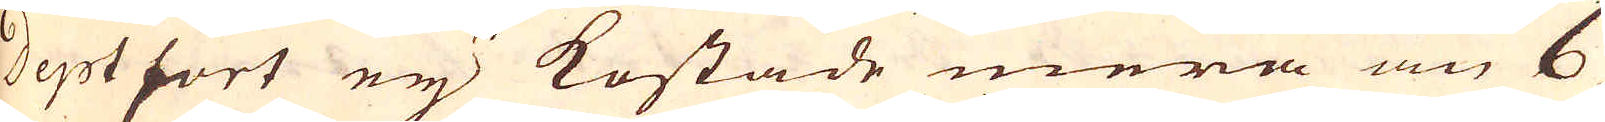Deptfort eij kostade mera än 6
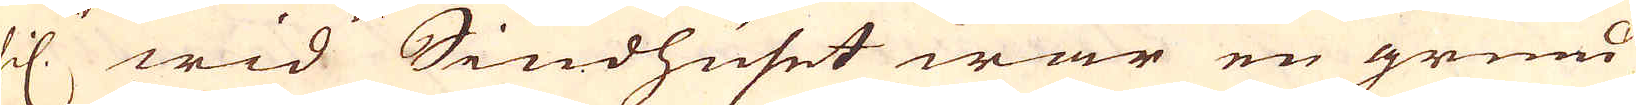schil. Wid Siudhuset war en grund
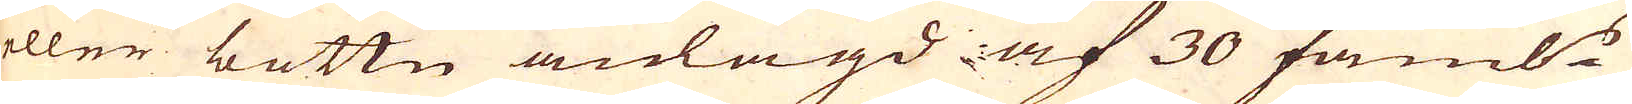eller bottn anlagd af 30 famb:r
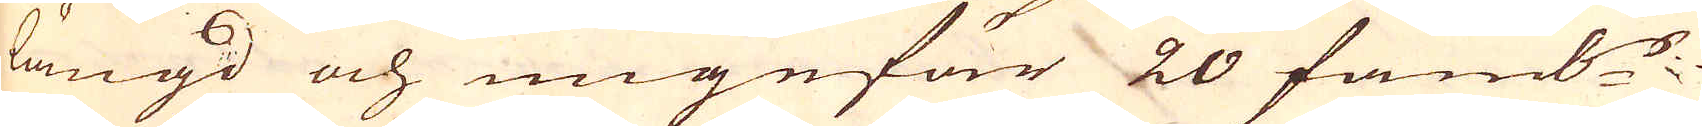längd och ungefär 20 famb:r
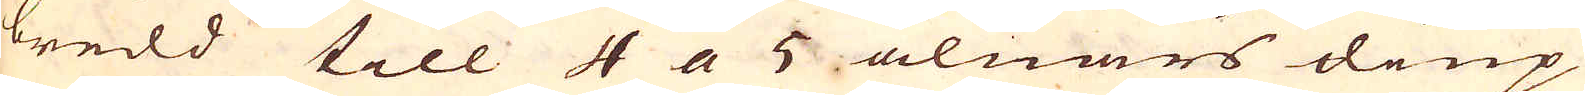bredd till 4 a 5 alnars diup
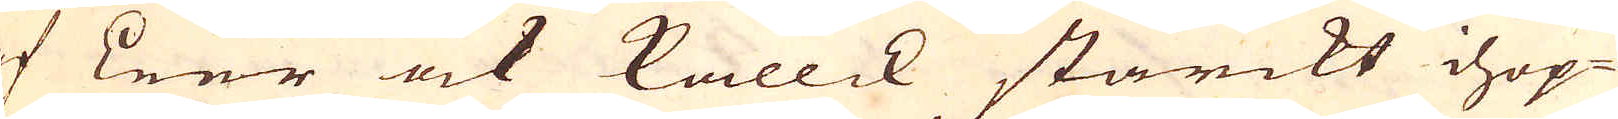af Leer ock kallck starckt ihop-
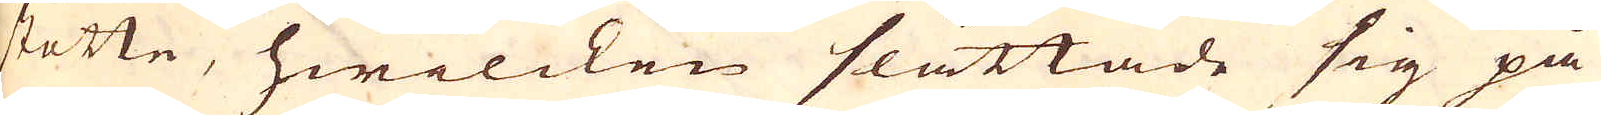stötte, hwilcken slättade sig på
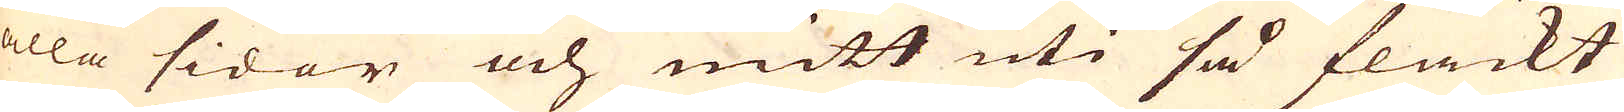alla sidor och mitt uti så flackt
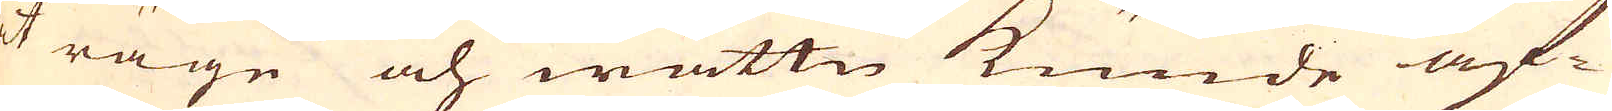at räge och wattn kunde af-
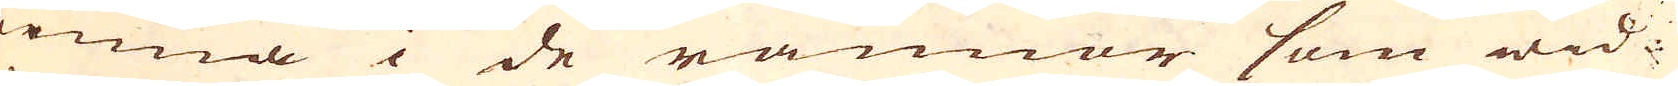rinna i de rännor som wid
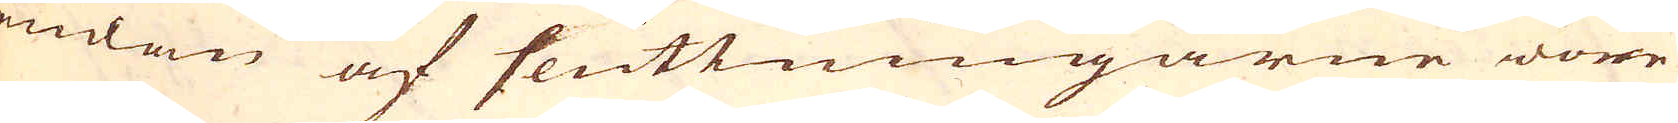ändan af sluttningarne wore
